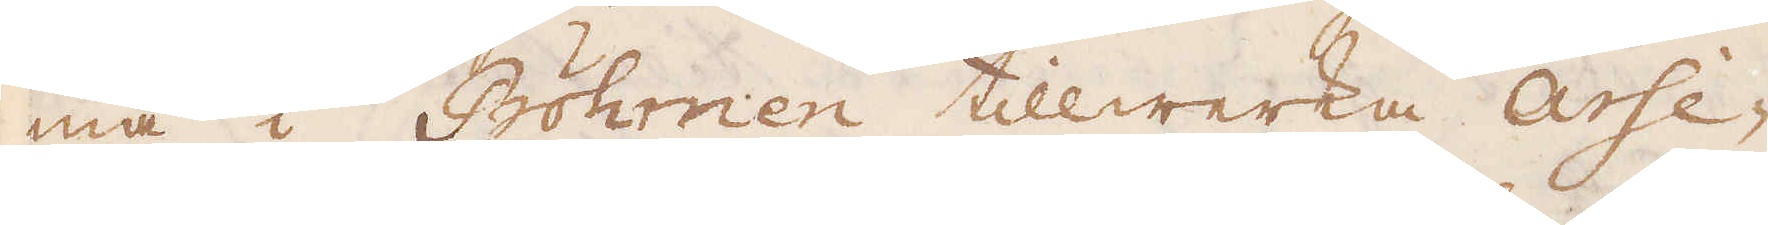må i Böhmen tillwerka Arse-
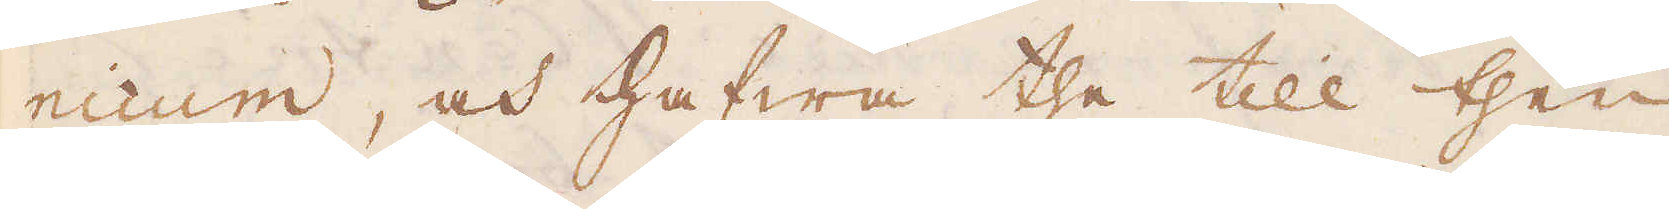nicum, och hafwa the till then
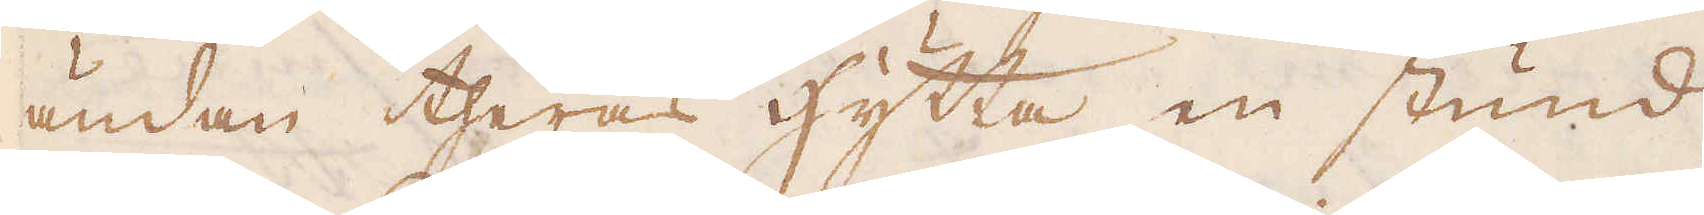ändan theras Hytta en stund
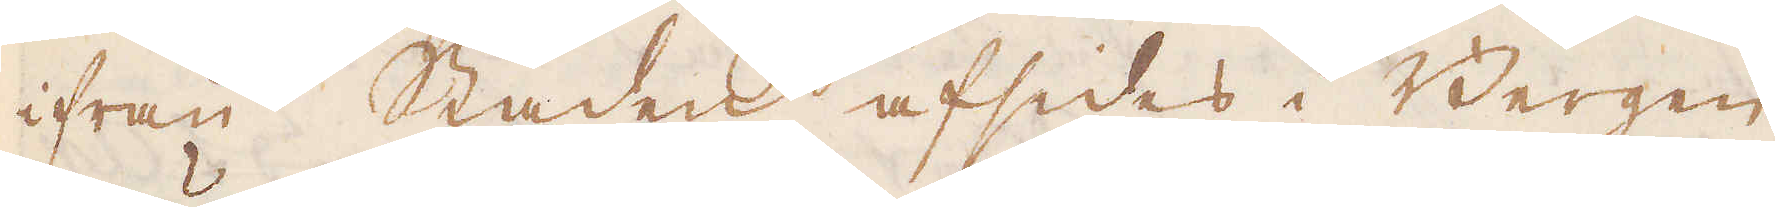ifrån Staden afsides i Bergen
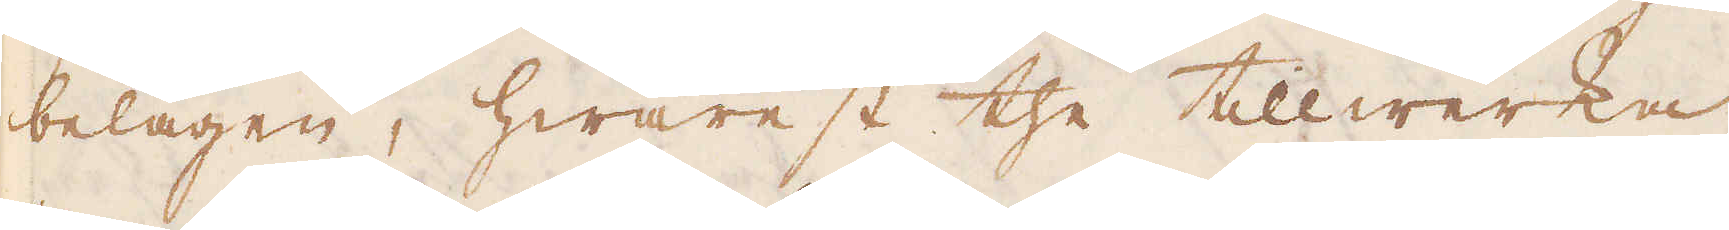belägen, hwarest the tillwerka
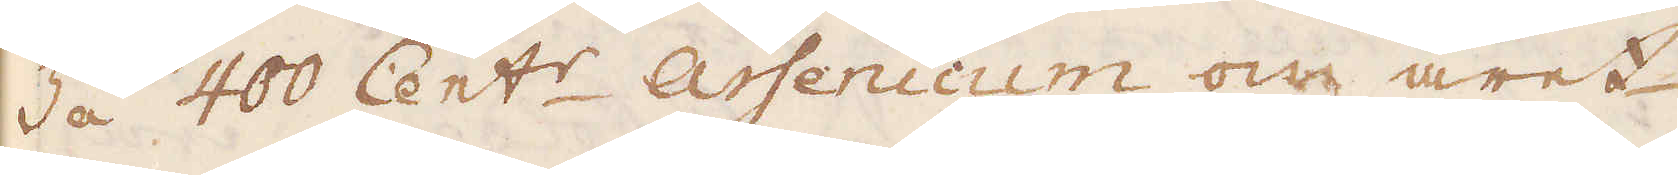3 á 400 Cent:r Arsenicum om året
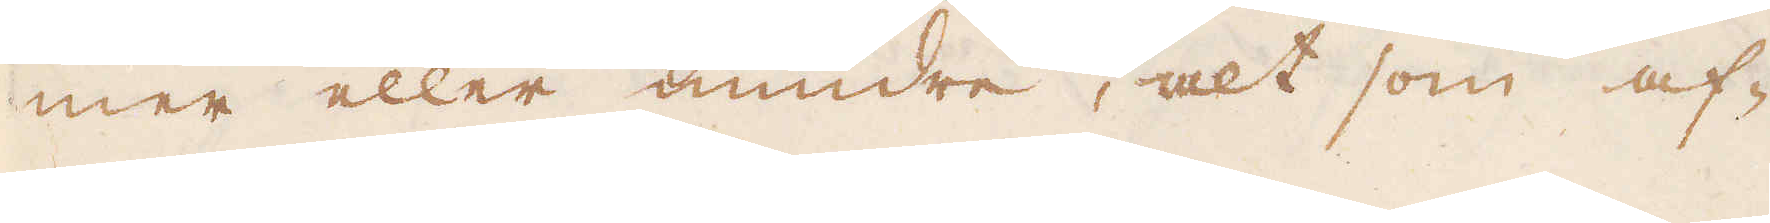mer eller mindre, alt som af-
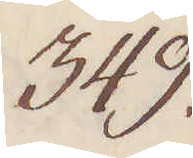349.
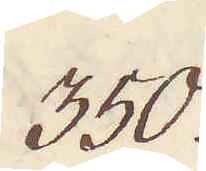350.
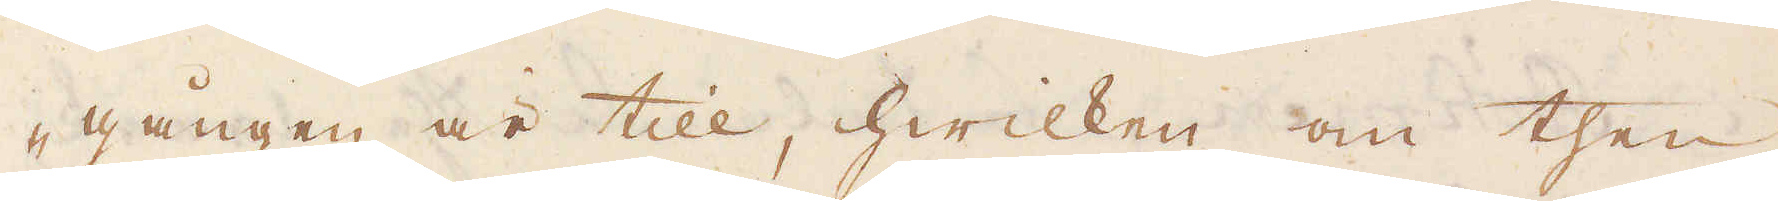-gången är till, hwilken om then
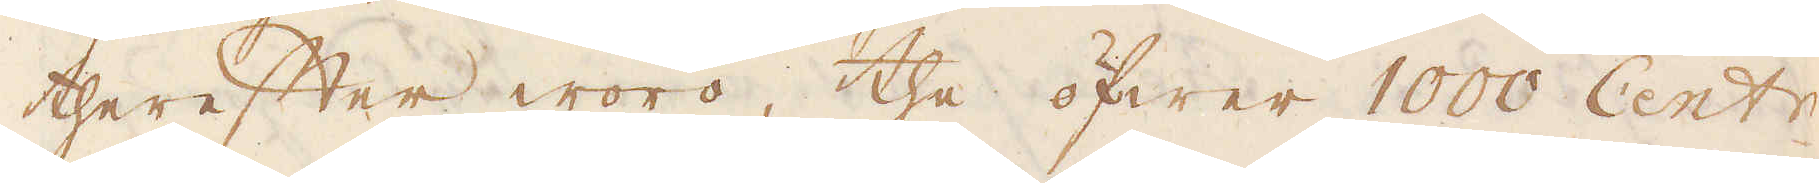therefter woro, the öfwer 1000 Cent:r
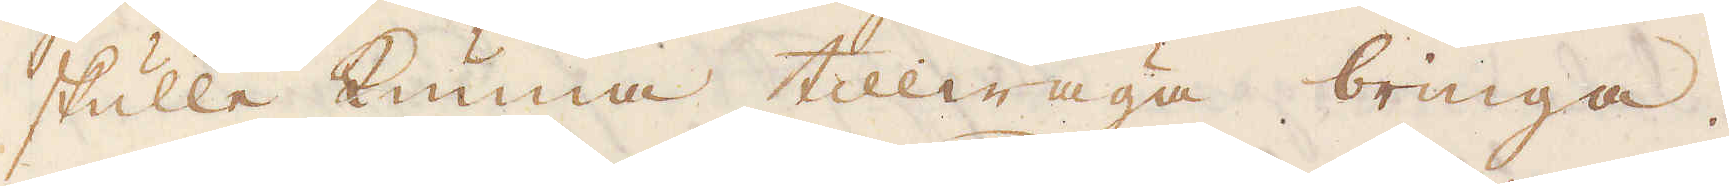skulle kunna tillwäga bringa.
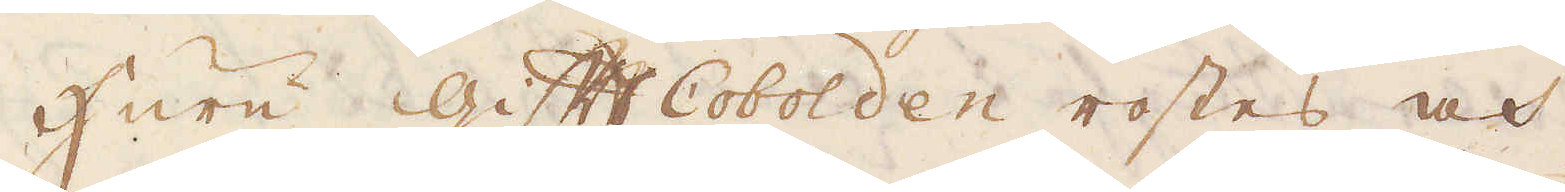Huru Gift Cobolden rostes och
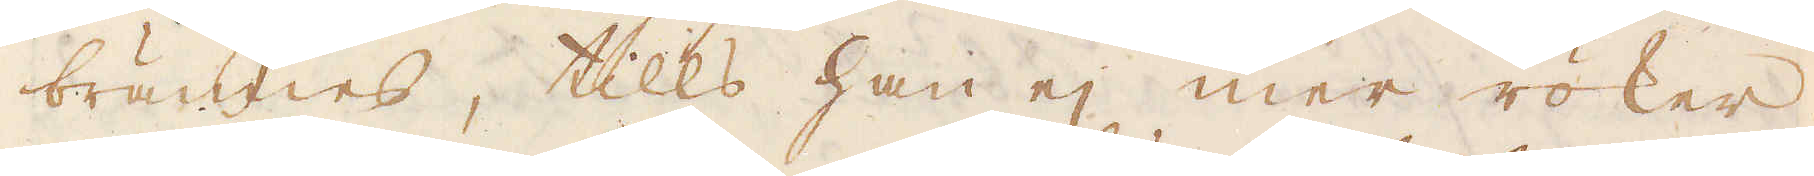brännes, tills han ej mer röker,
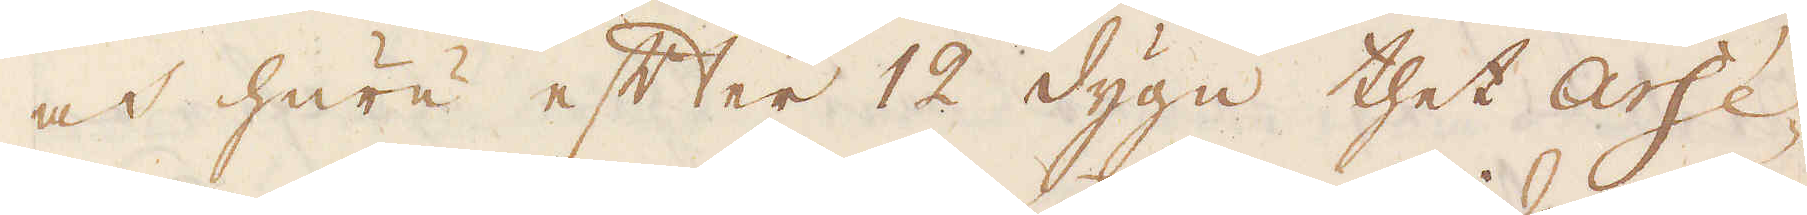och huru efter 12 dygn thet Arse-
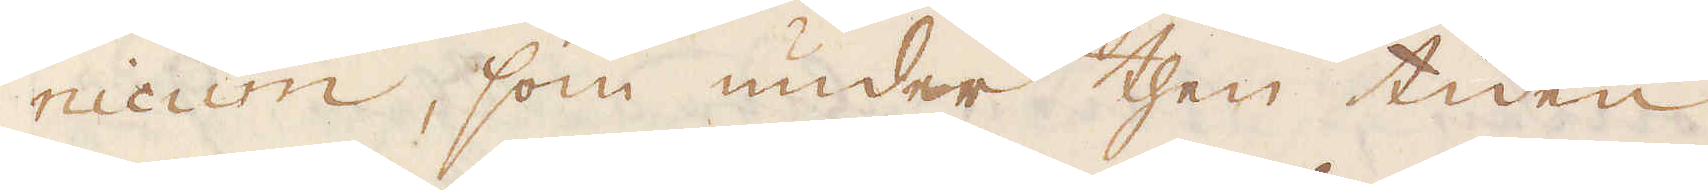nicum, som under then tiden
